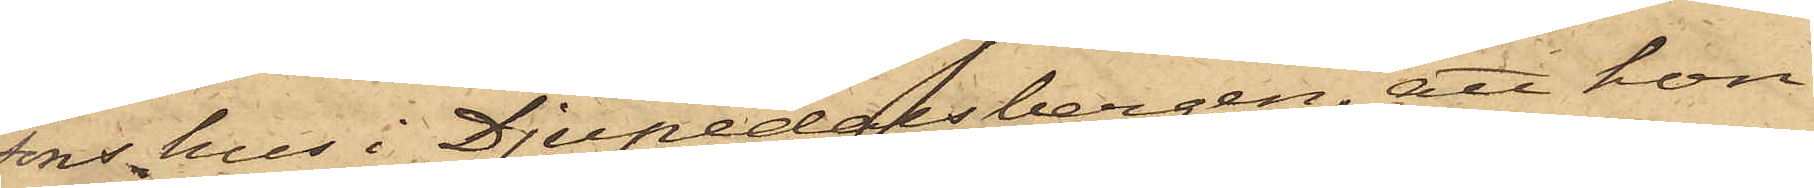sons hus i Djupedalsbergen, att hon
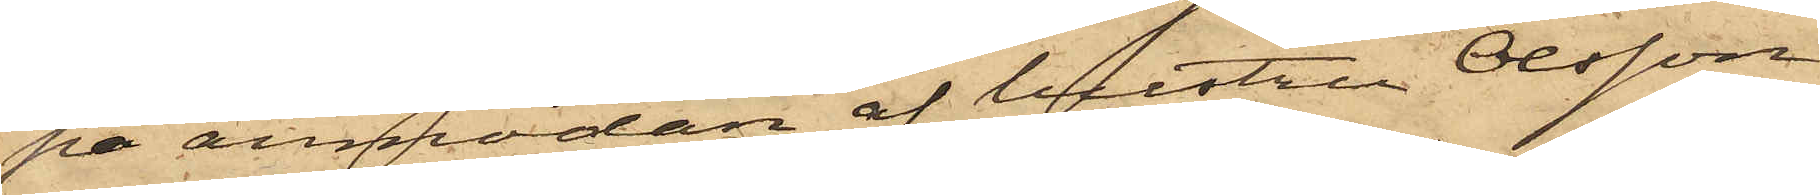på anmodan af hustru Olsson
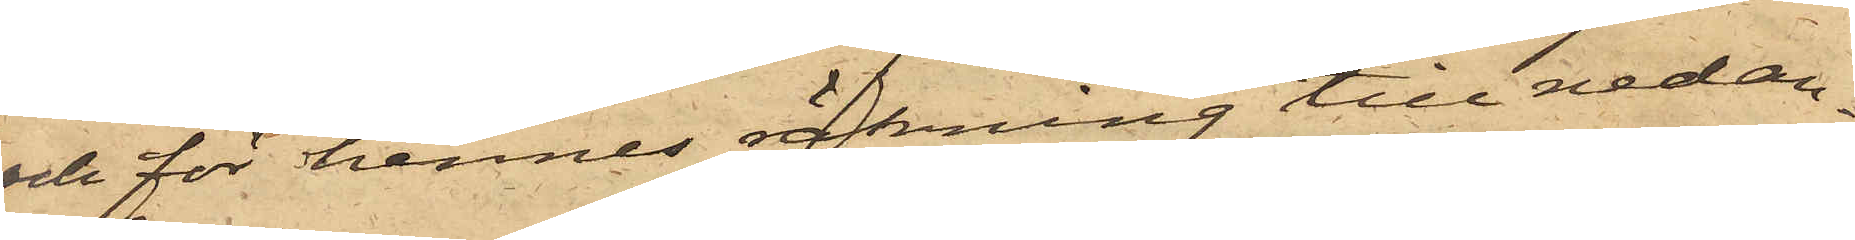och för hennes räkning till nedan¬
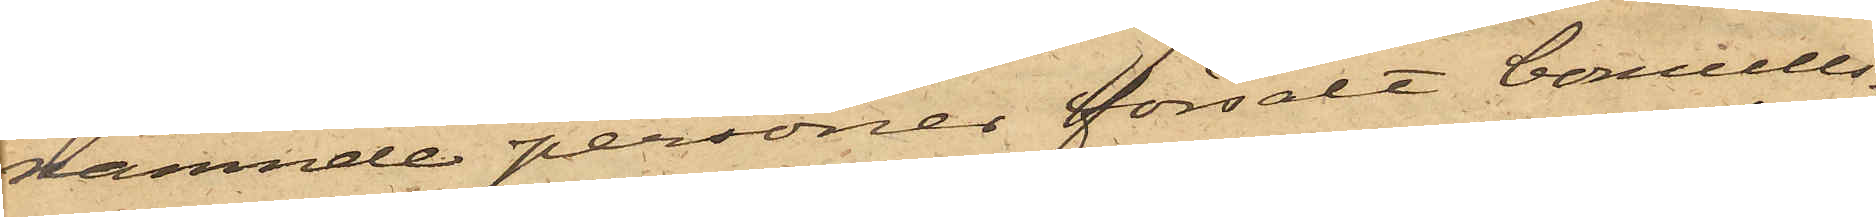nämnde personer försålt bomulls¬
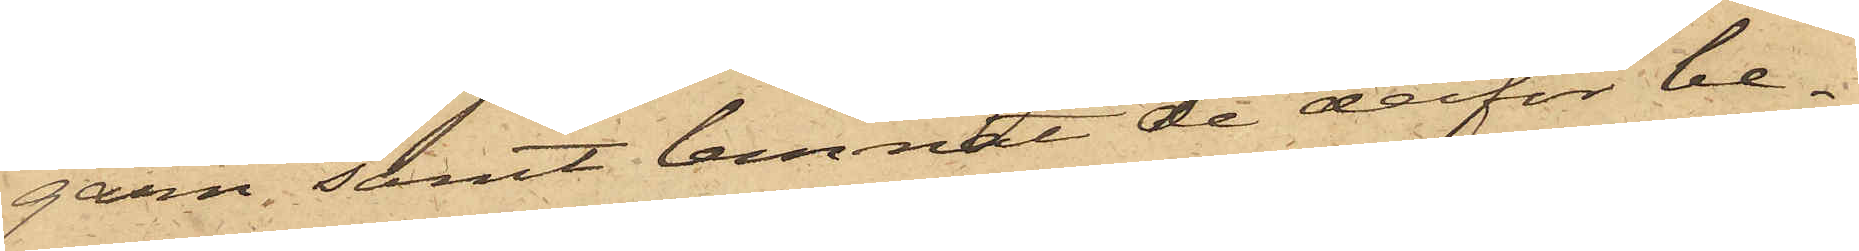garn; samt lemnat de derför be¬
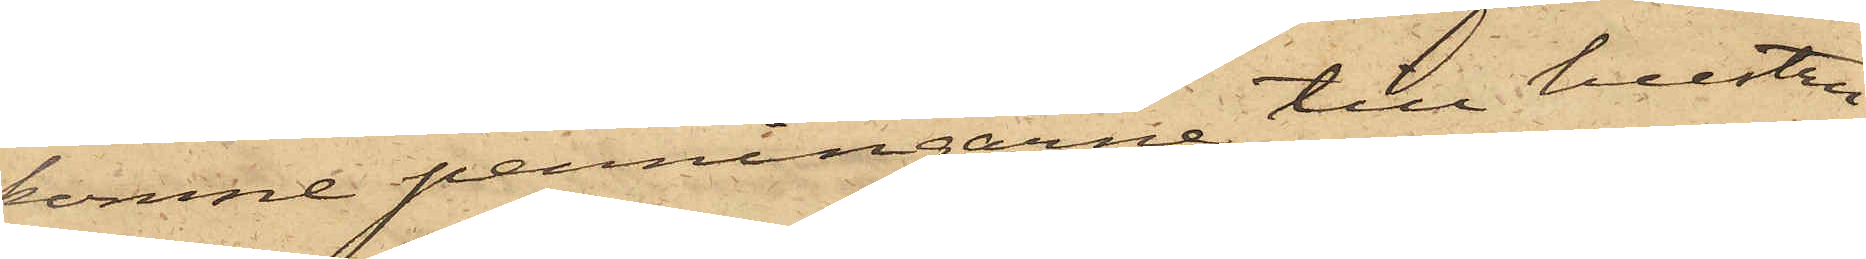komne penningarne till hustru
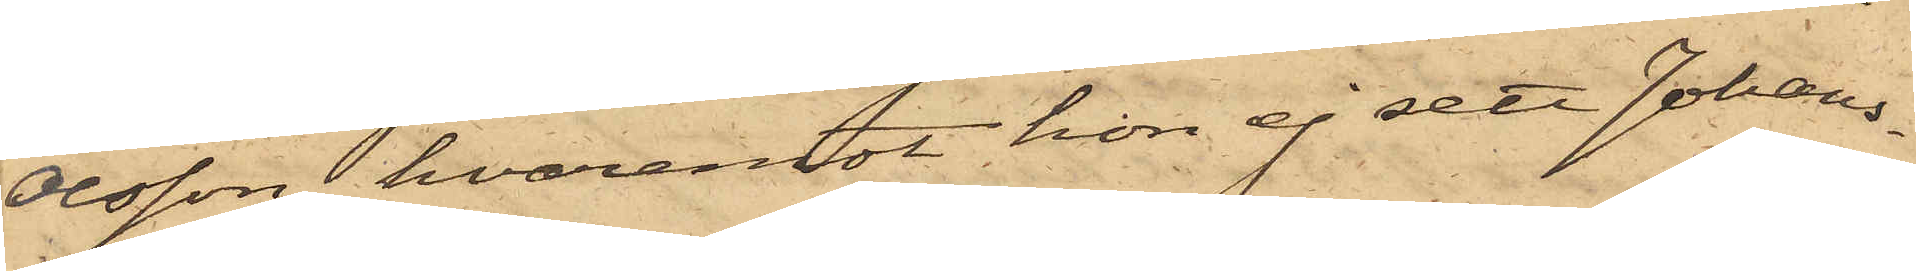Olsson, hvaremot hon ej sett Johans¬
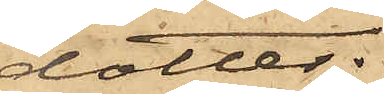dotter;
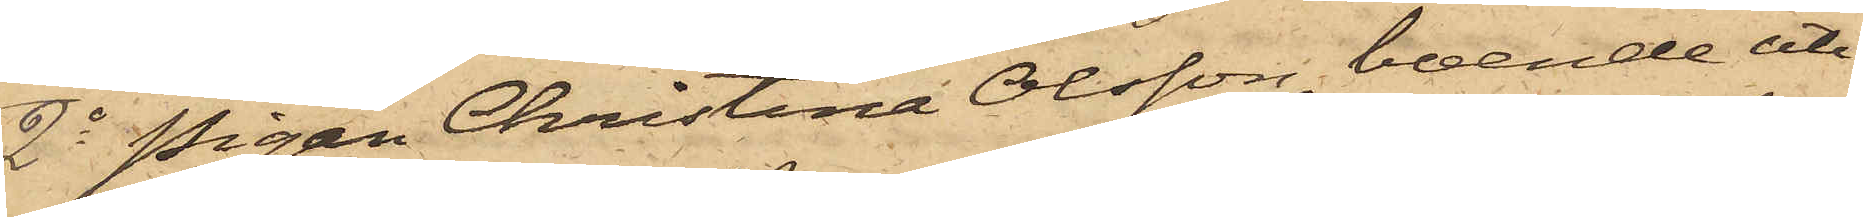2o Pigan Christina Olsson, boende uti
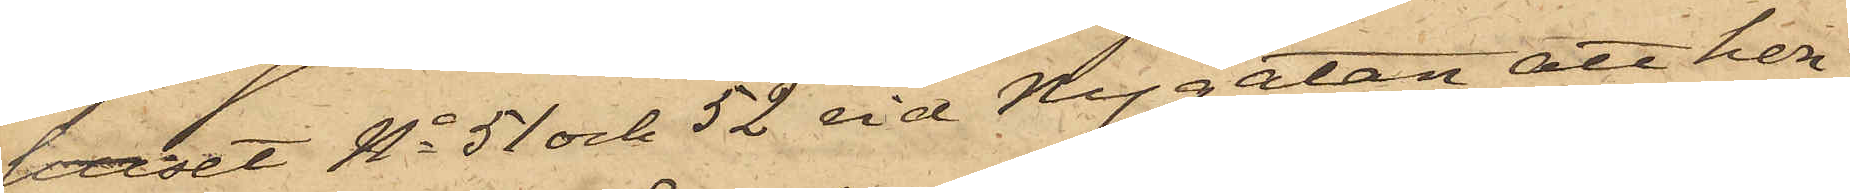huset No 51 och 52 vid Nygatan, att hon
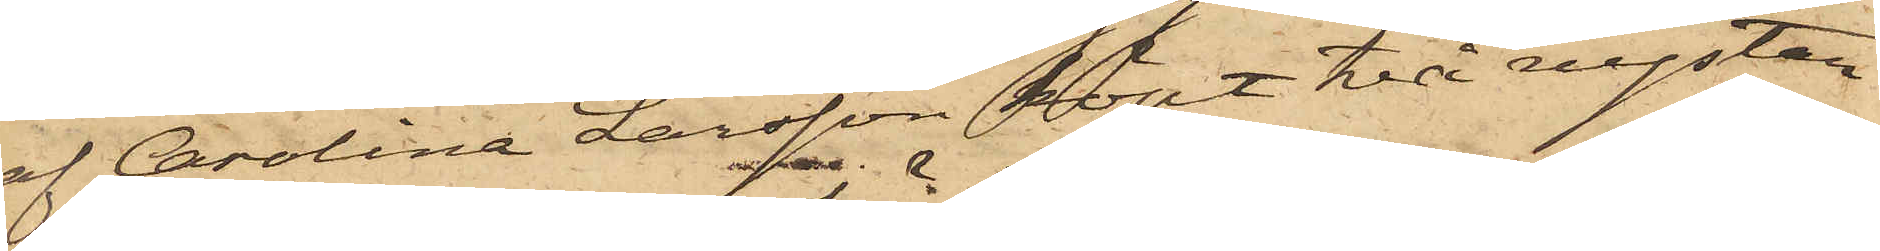af Carolina Larsson köpt två nystan
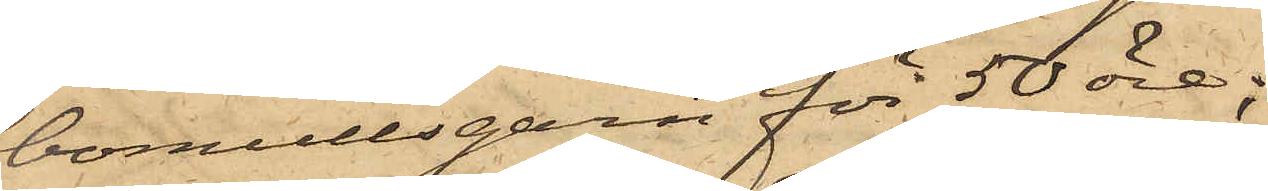bomullsgarn för 50 öre;
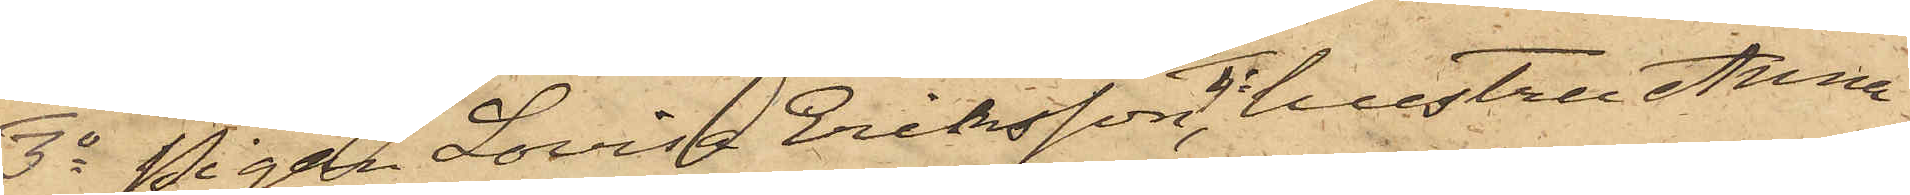3o Pigan Lovisa Eriksson, 4o hustru Anna
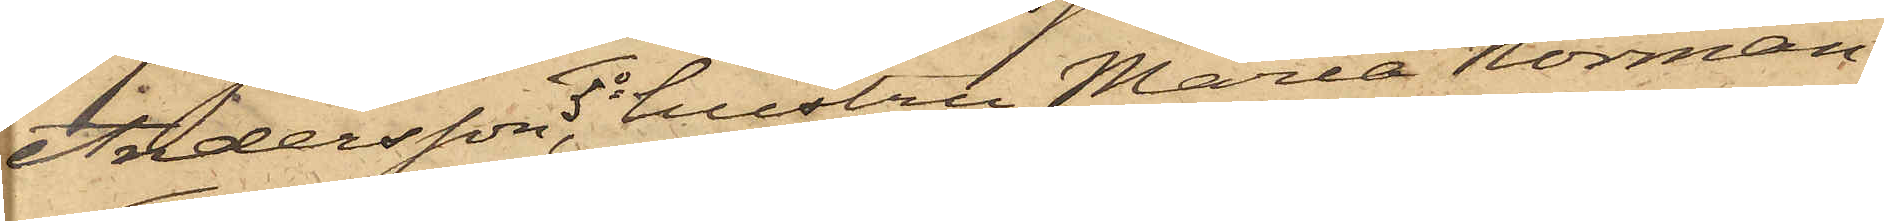Andersson, 5o hustru Maria Norman
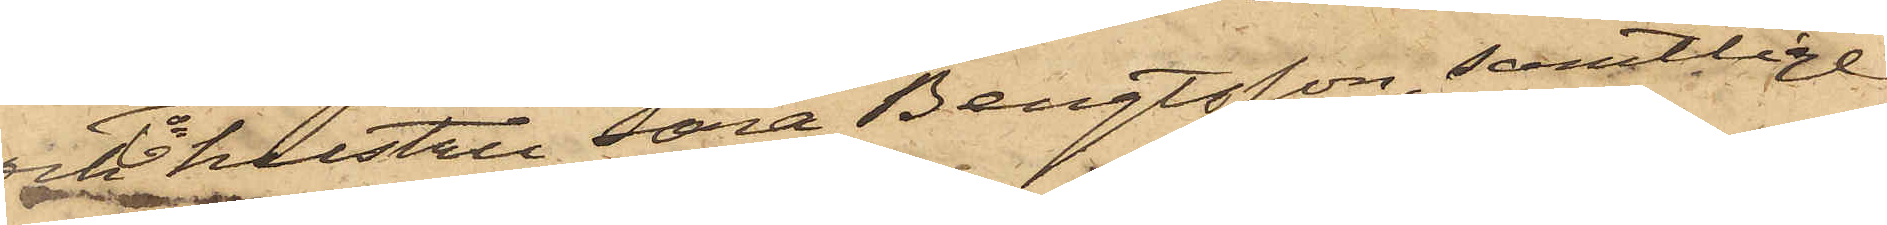och 6o hustru Sara Bengtsson, samtlige
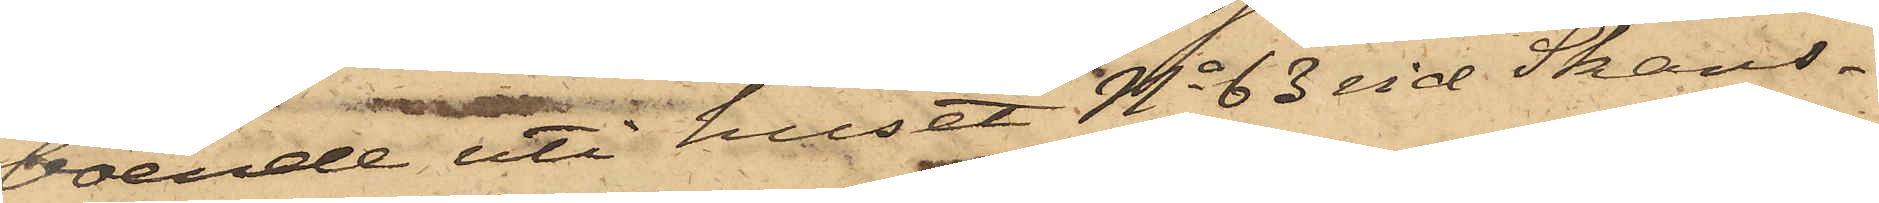boende uti huset No 63 vid Skans¬
